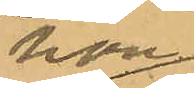hon
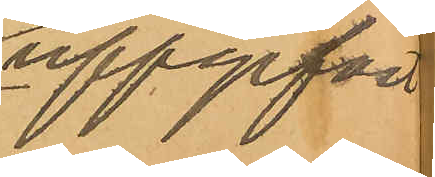uppgifvit
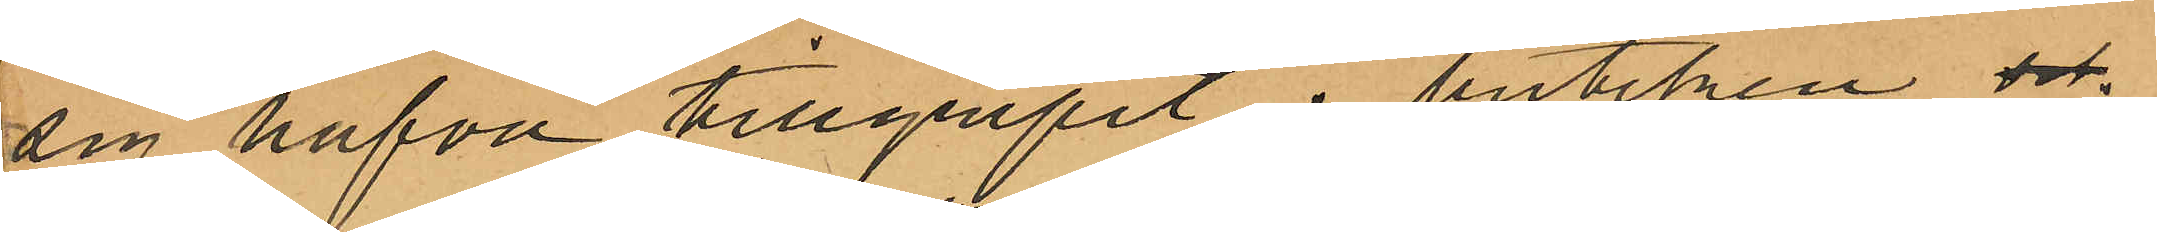sig hafva tillgripit i butiken och
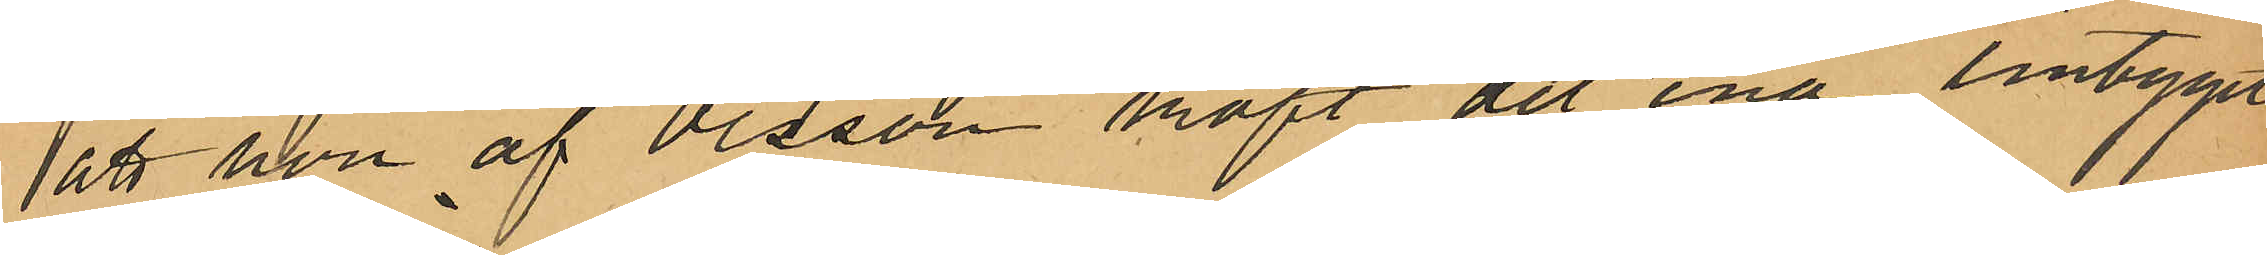att hon af Olsson köpt det ena lintyget
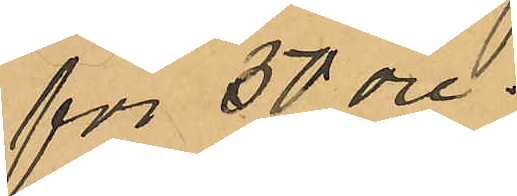för 50 öre,
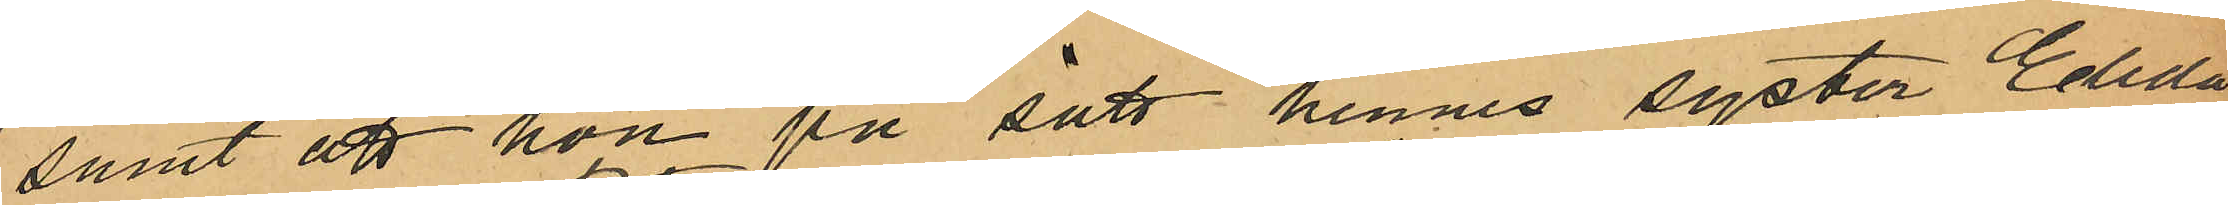samt att hon på sätt hennes syster Elida
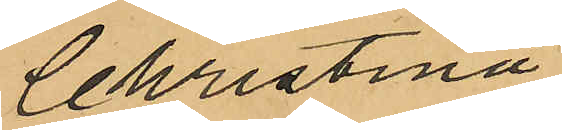Christina
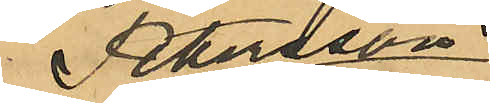Petersson
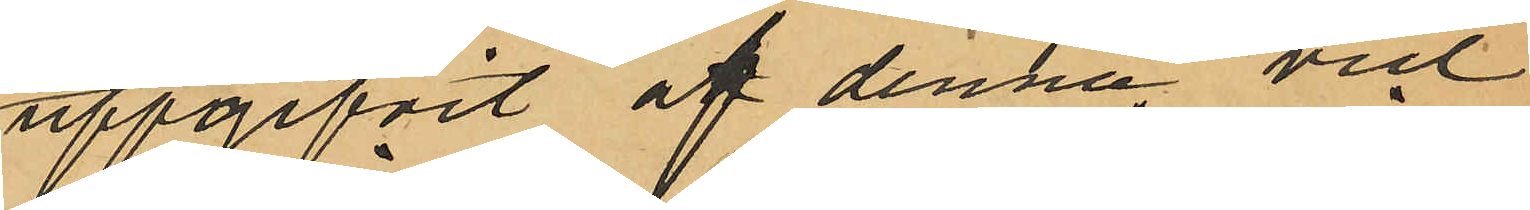uppgifvit af denna vid
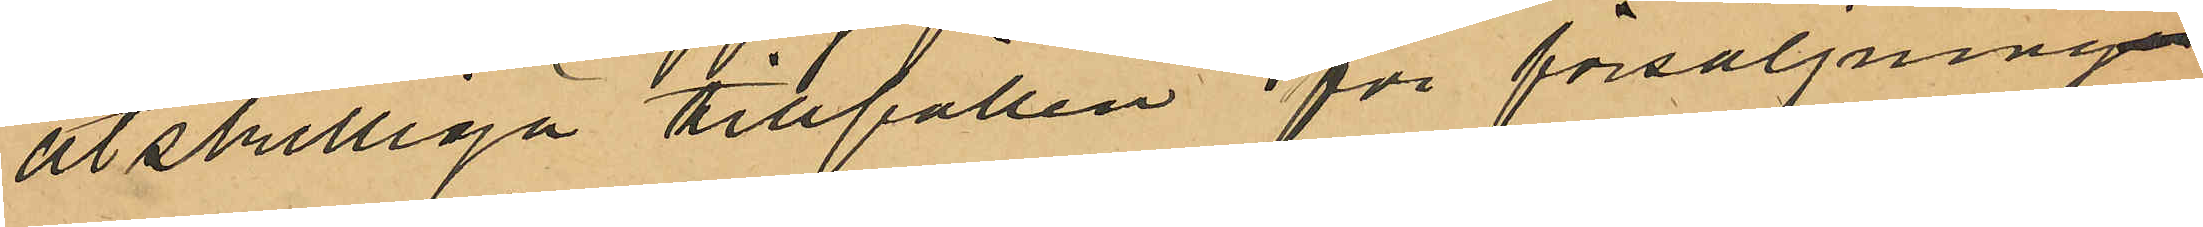åtskilliga tillfällen för försäljning
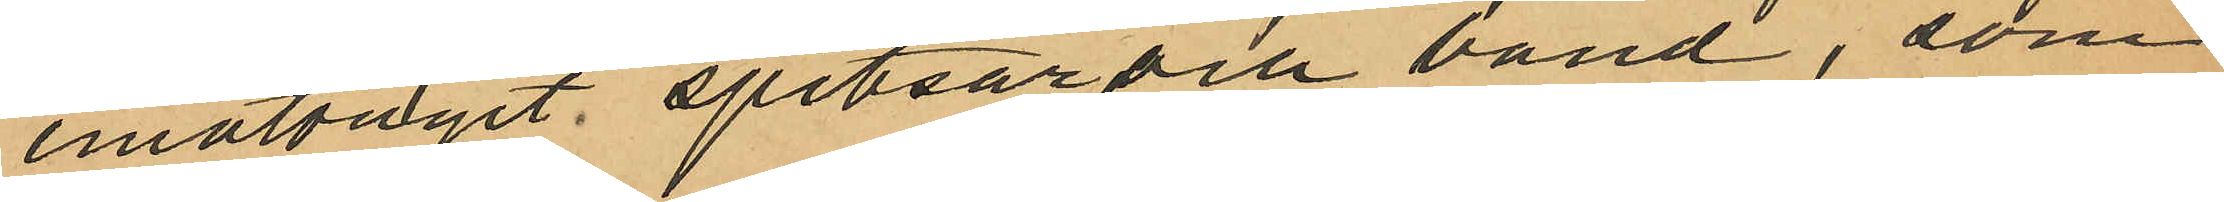emottagit spetsar och band, som
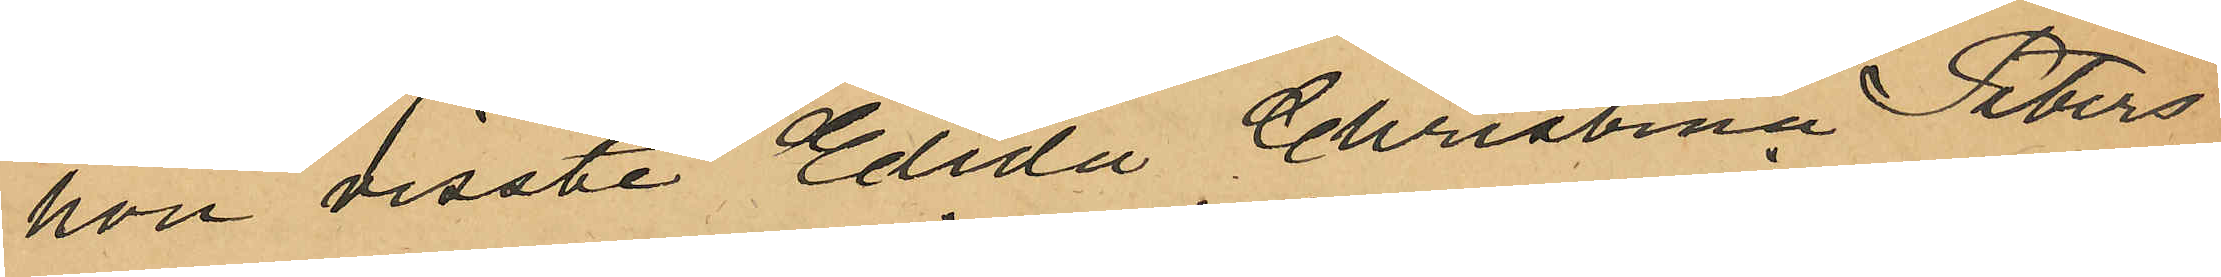hon visste Elida Christina Peters¬
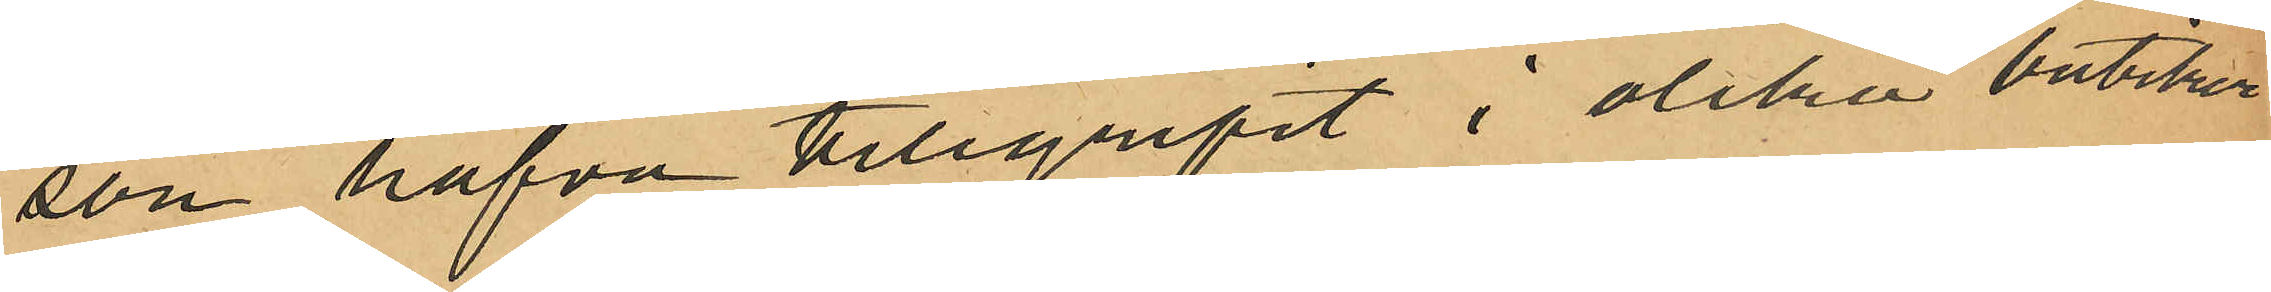son hafva tillgripit i olika butiker
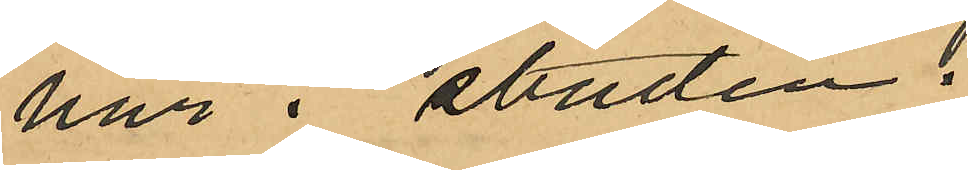här i staden.
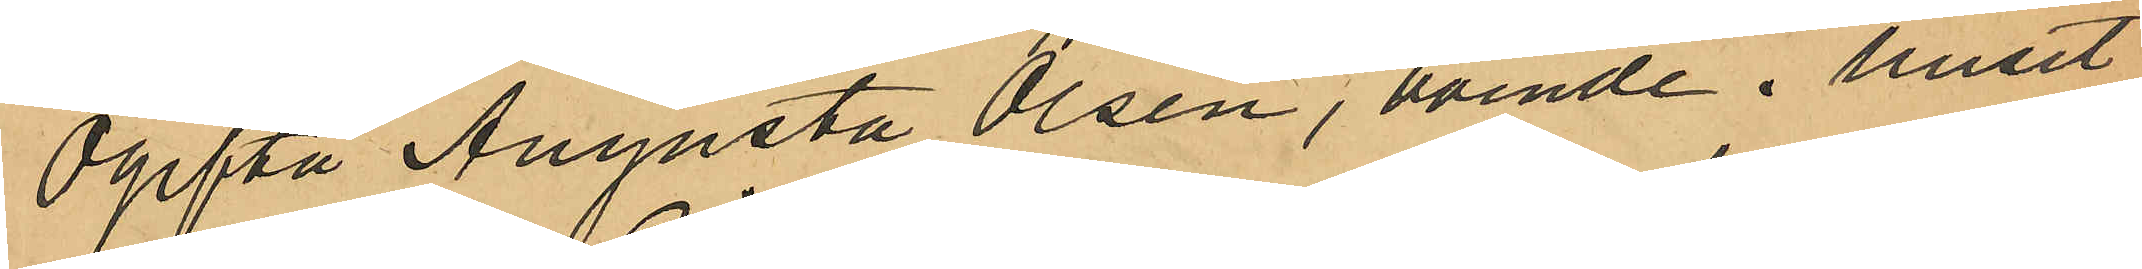Ogifta Augusta Olsén, boende i huset
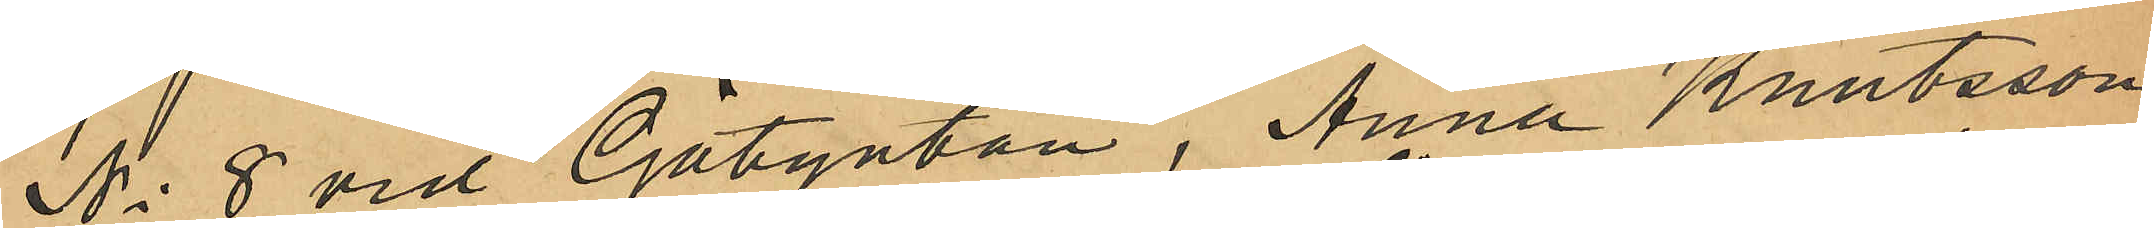No 8 vid Götgatan, Anna Knutsson
